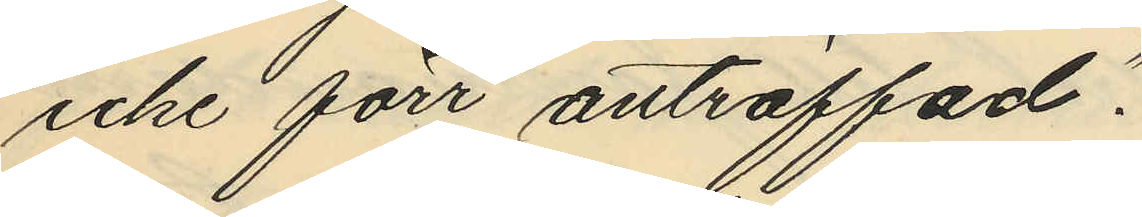icke förr anträffad".
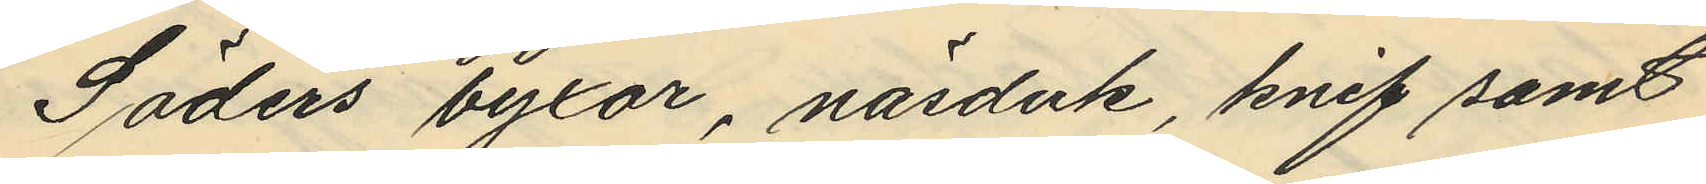Söders byxor, näsduk, knif samt
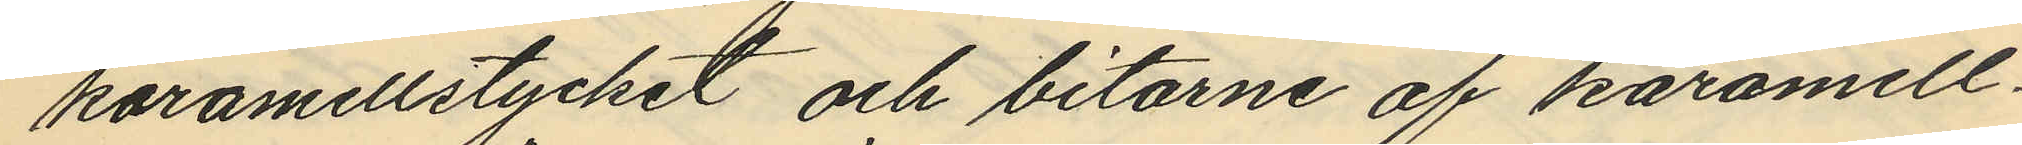karamellstycket och bitarne af karamell¬
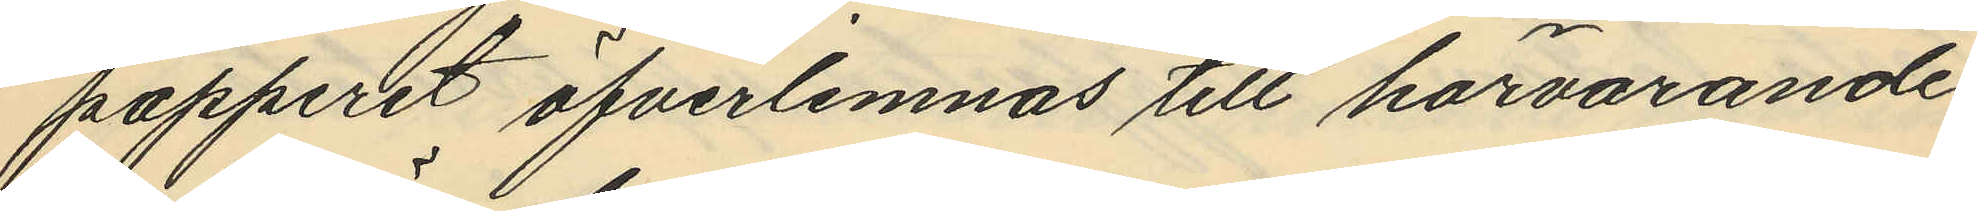papperet öfverlemnas till härvarande
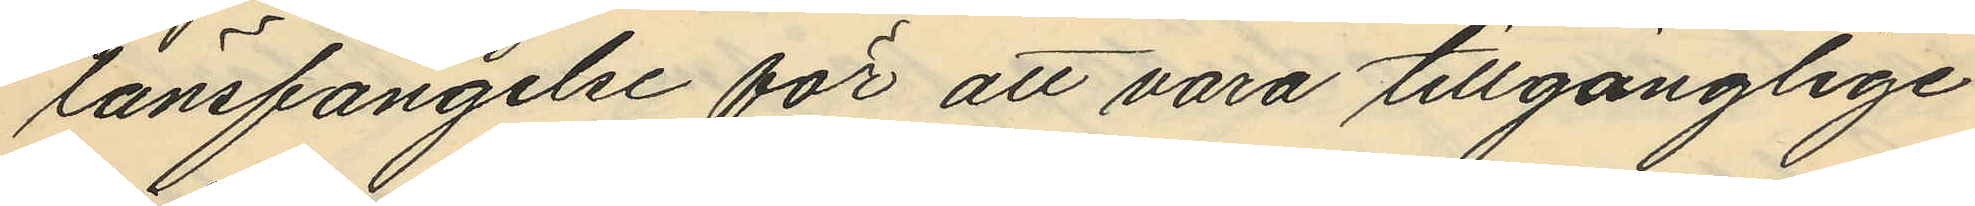länsfängelse för att vara tillgänglige
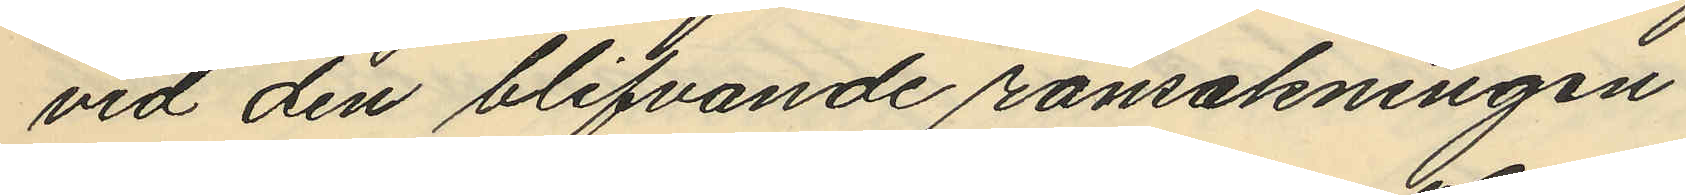vid den blifvande ransakningen.
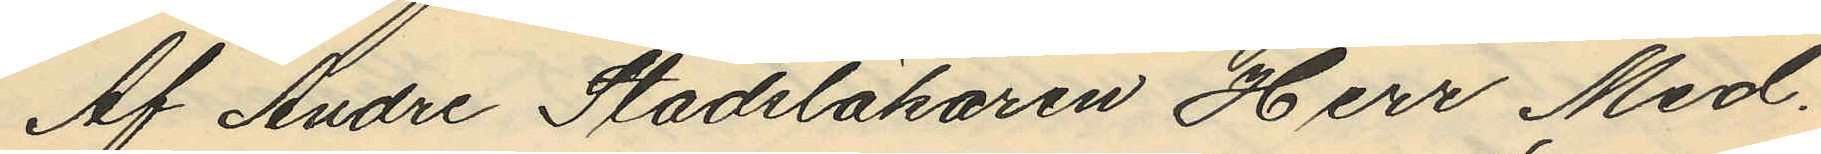Af Andre Stadsläkaren Herr Med.
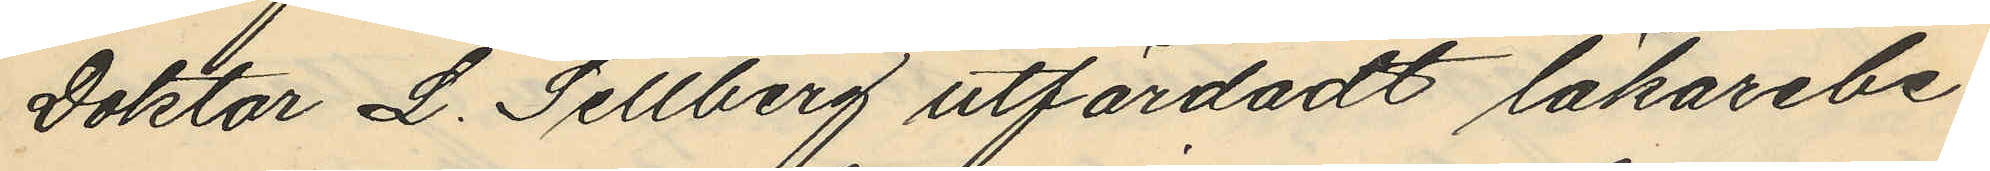Doktor L. Sellberg utfärdadt läkarebe¬
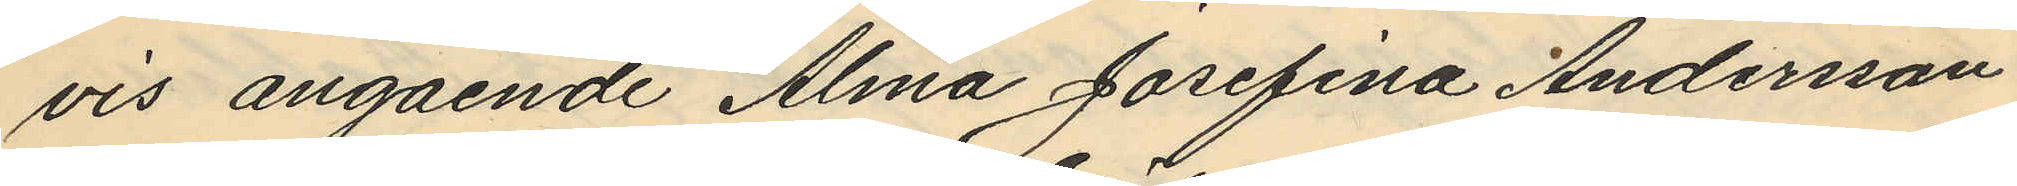vis angående Alma Josefina Andersson
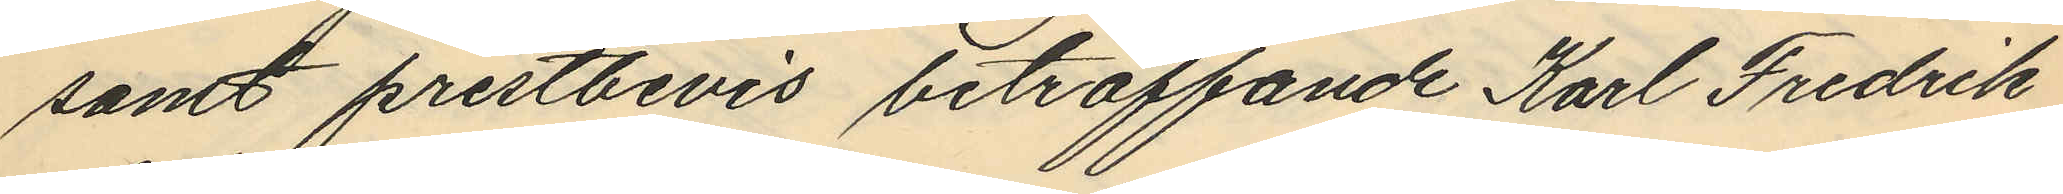samt prestbevis beträffande Karl Fredrik
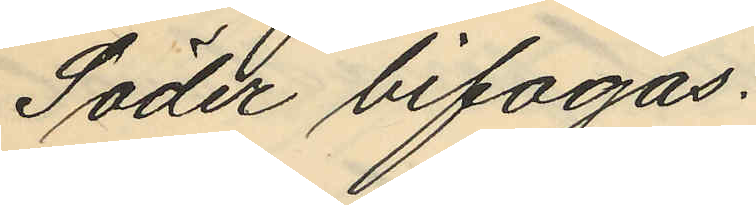Söder bifogas.
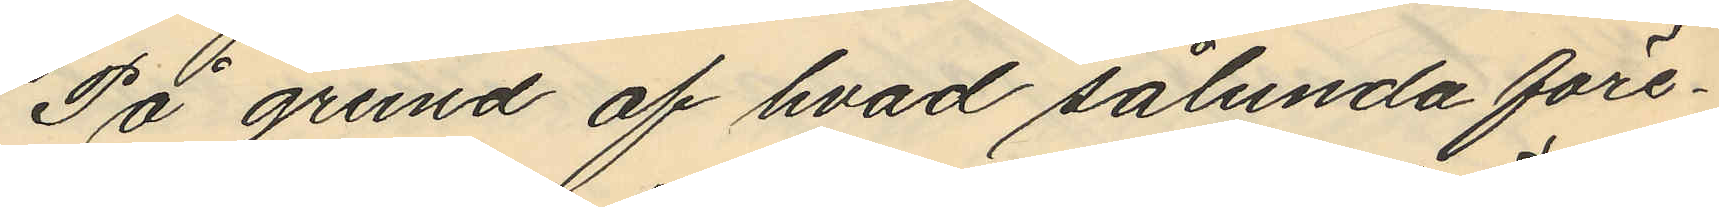På grund af hvad sålunda före¬
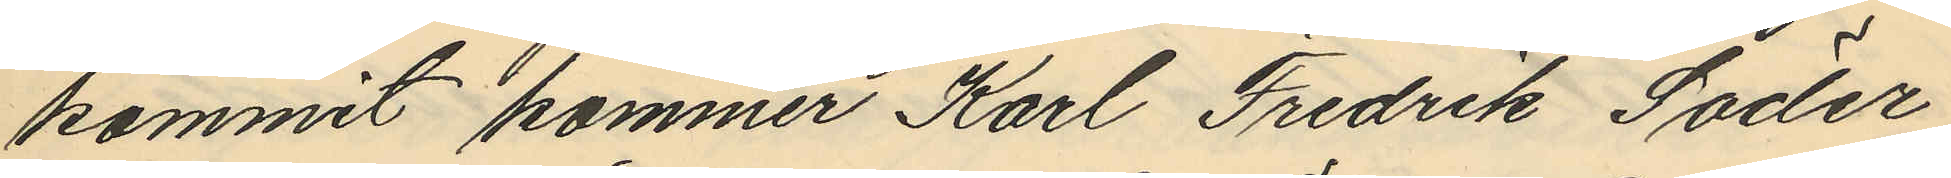kommit kommer Karl Fredrik Söder
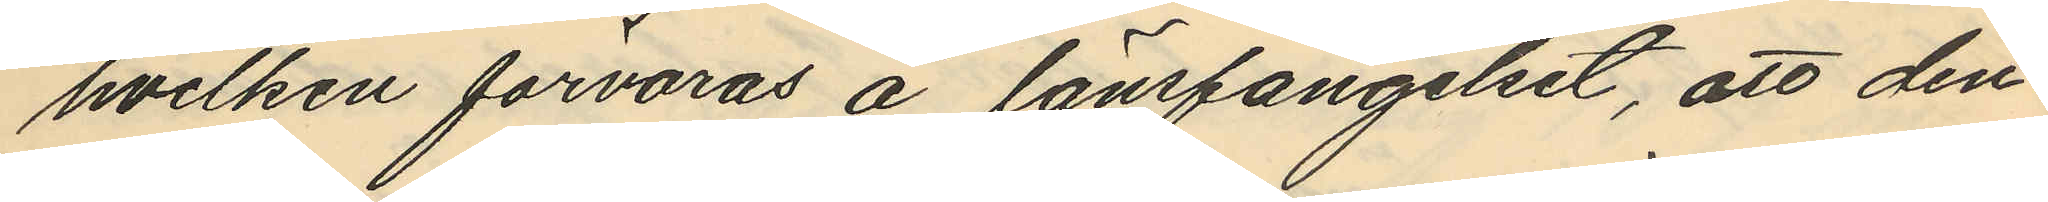hvilken förvaras å länsfängelset, att den¬
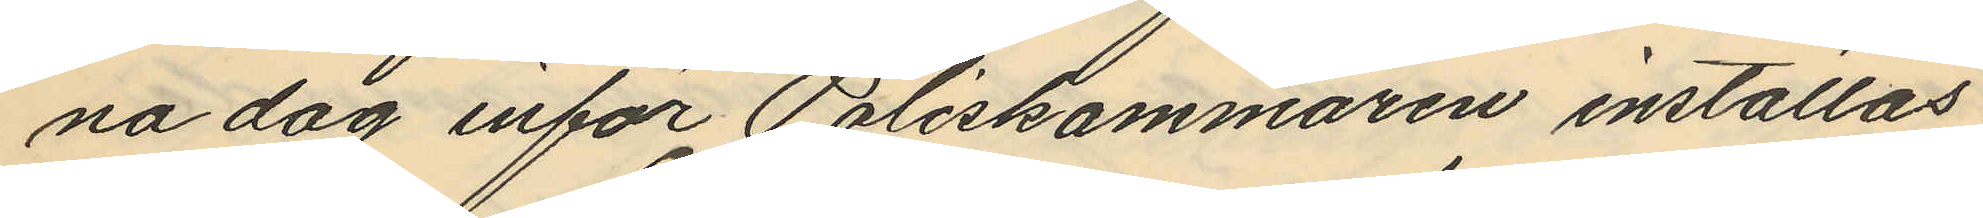na dag inför Poliskammaren inställas
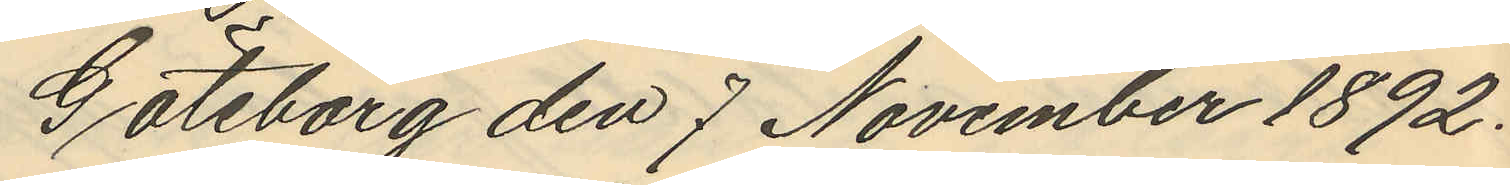Göteborg den 7 November 1892.
